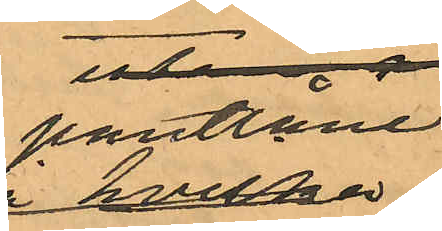pantlåne¬
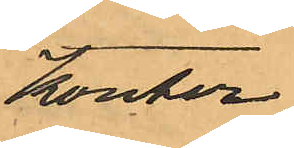kontor
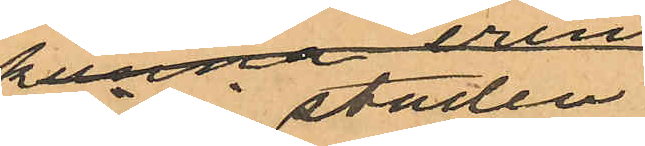här i staden.
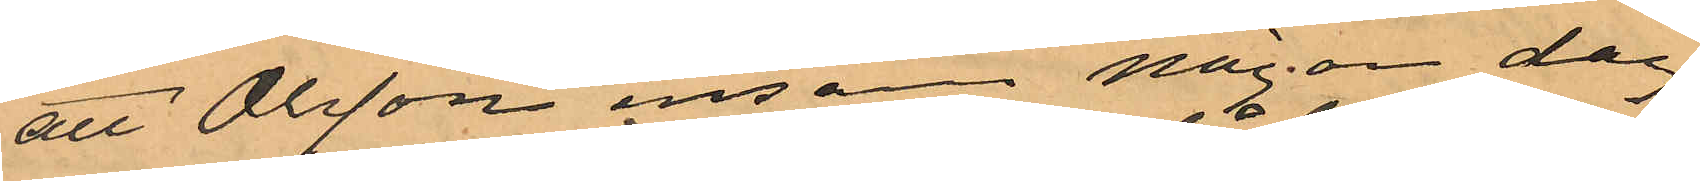att Olsson ensam någon dag
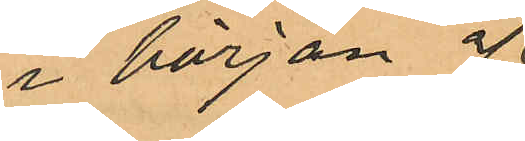i början af
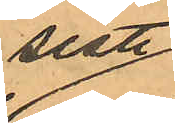sistl
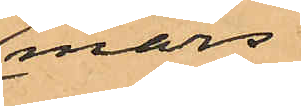mars
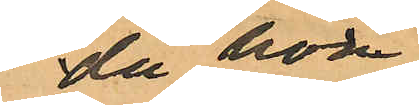då hon
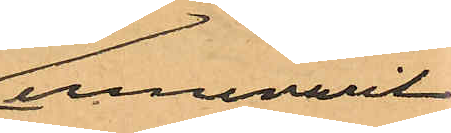innevarit
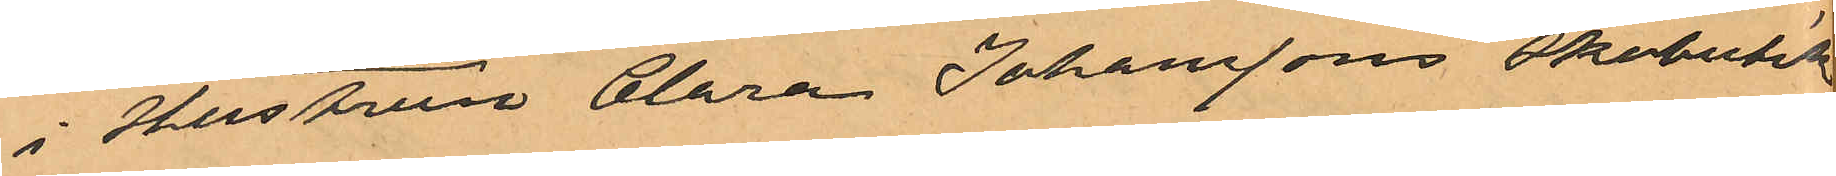i Hustrun Clara Johanssons skobutik
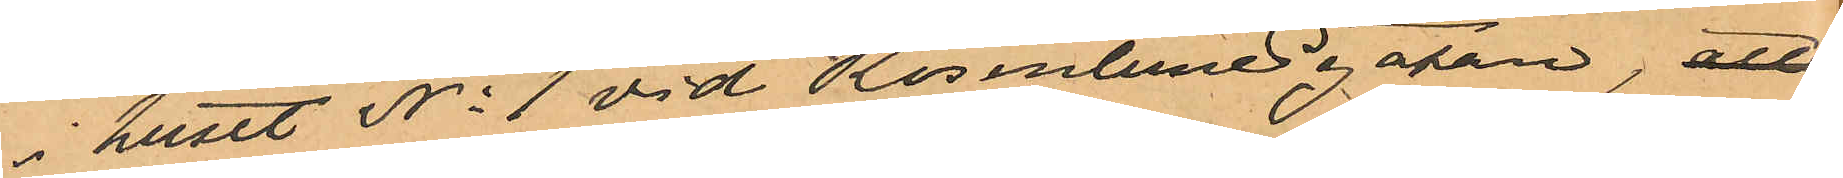i huset No 1 vid Rosenlundsgatan, att
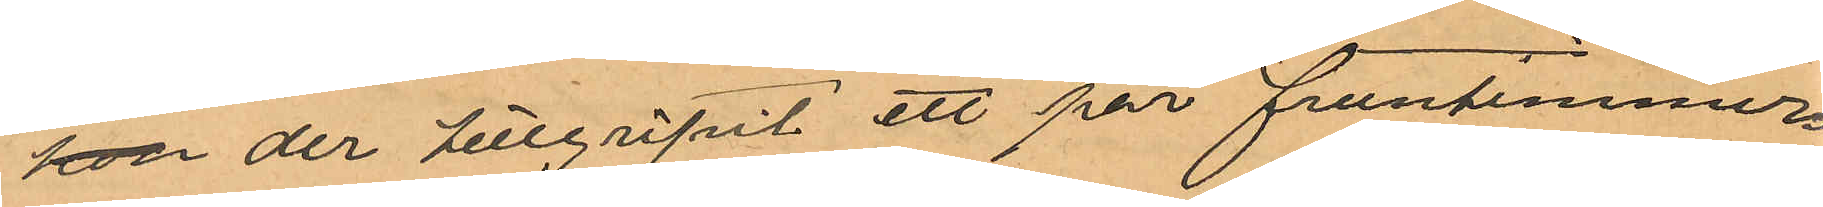hon der tillgripit ett par fruntimmers¬
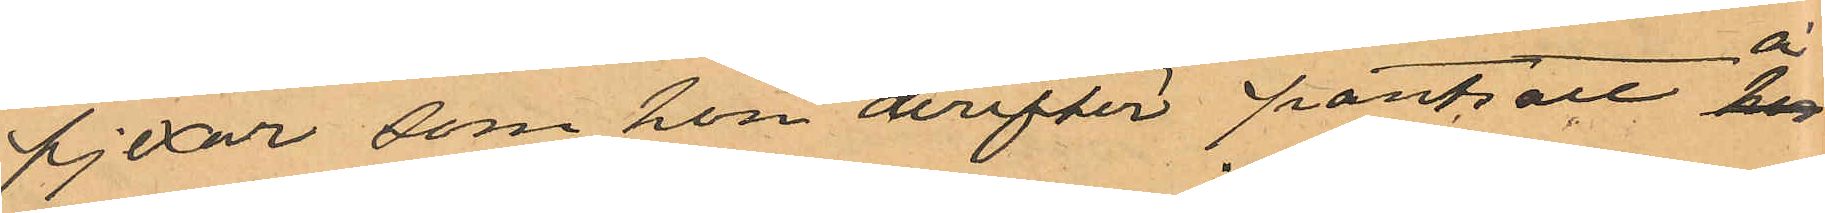pjexor, som hon derefter pantsatt hos
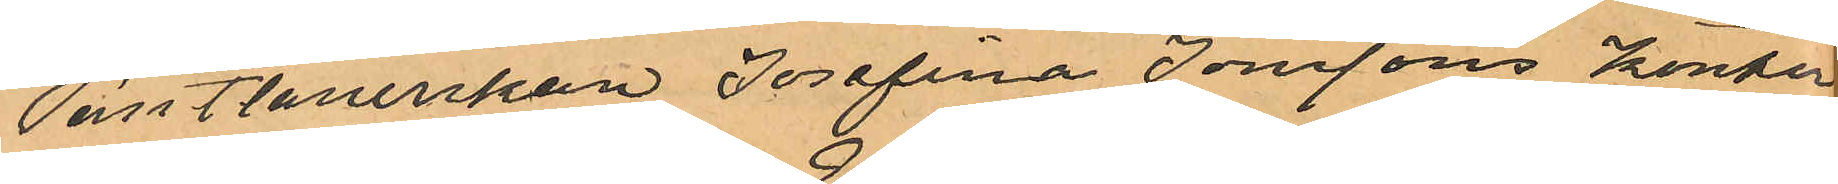Pantlånerskan Josefina Jonssons kontor
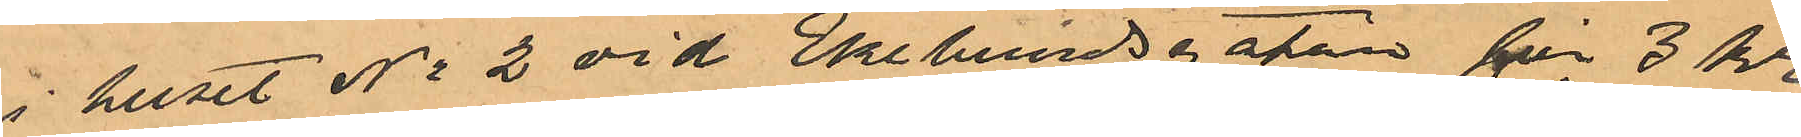i huset No 2 vid Ekelundsgatan för 3 kr,
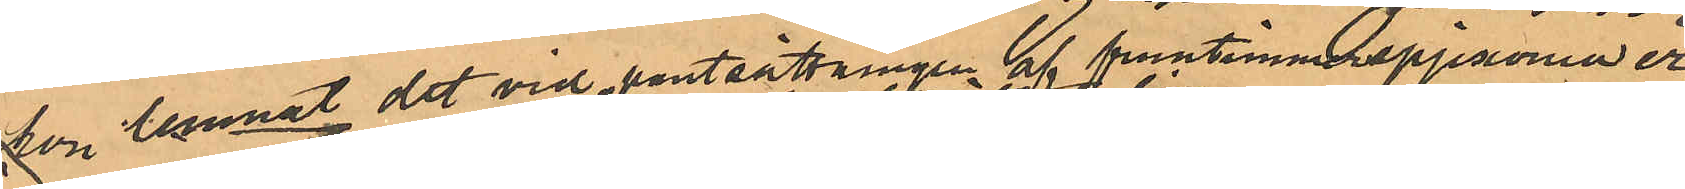att hon lemnat det vid pantsättningen af fruntimmerspjexorna er¬
